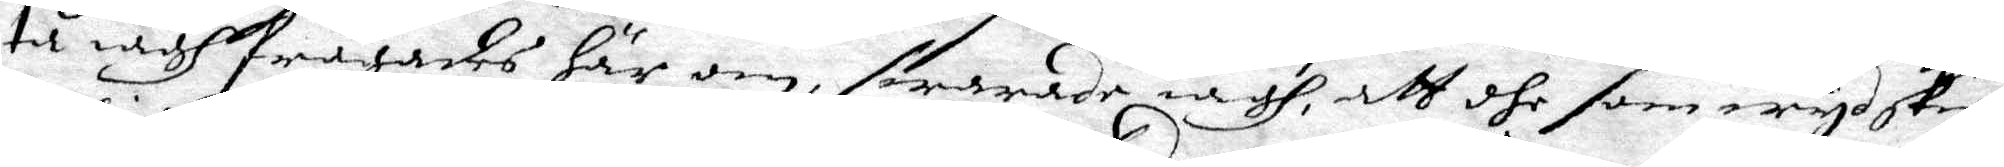tå iagh frågades här om, swarade iagh, att dhe som wyd skie¬
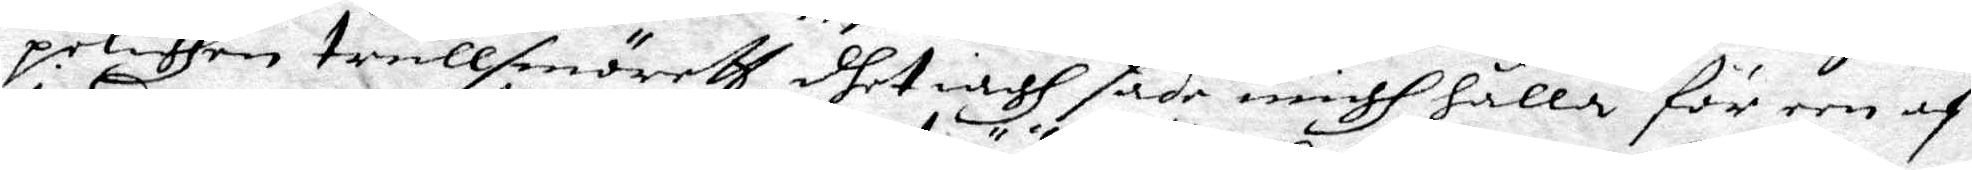pelighen trullsmörett, dhet iagh sade migh hålla för een af
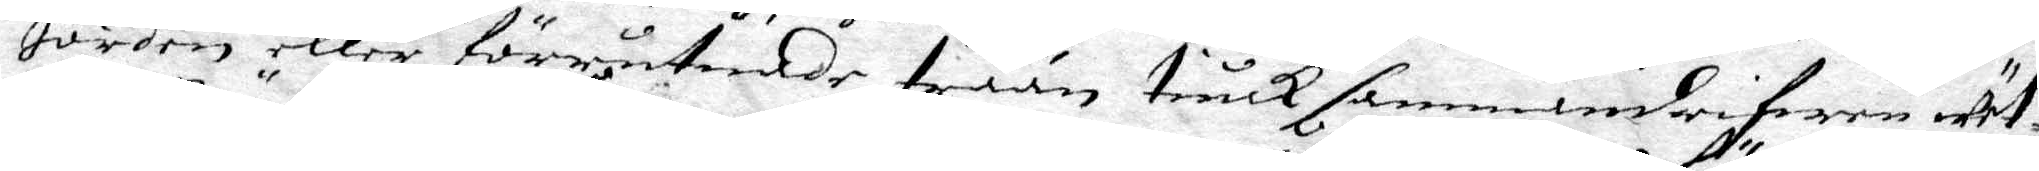Jorden eller förrutnade trään tiuck sammandrifwen wät¬
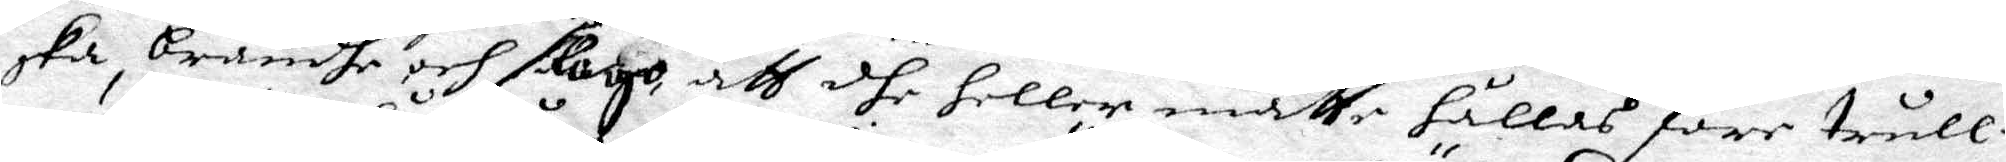ska, brändhe och slogo, att dhe heller måtte hållas före trull¬
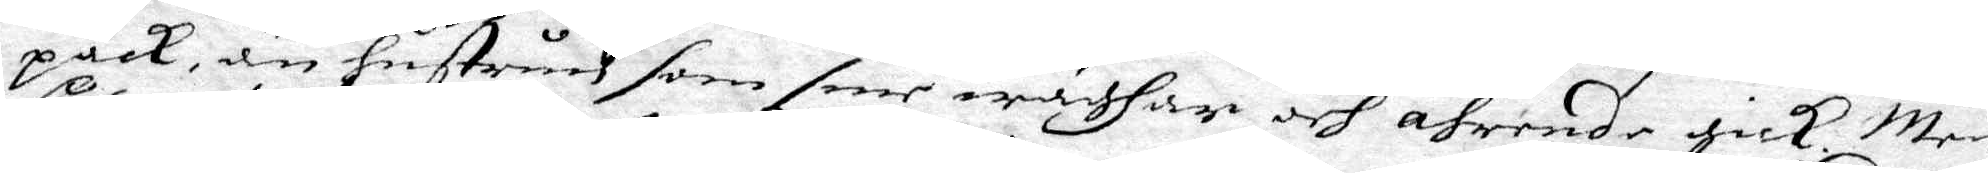pack, än Hustrun som sine wäghar och ährende gick. Men
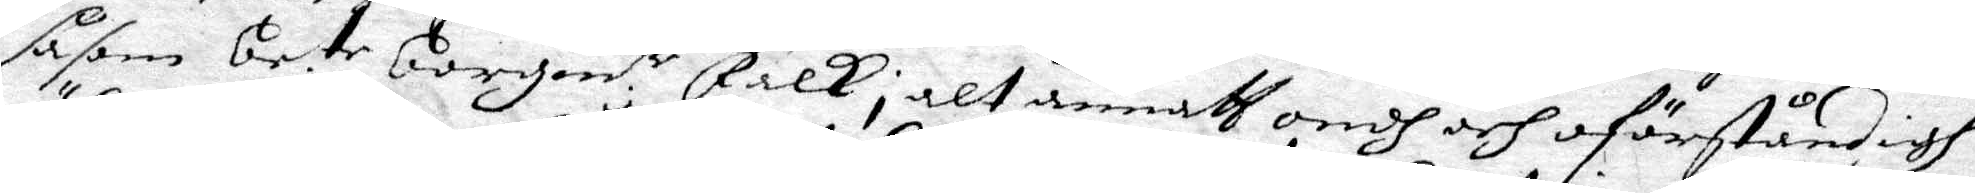såsom be.te Borgm.r Falk i alt annath ondh och oförståndigh
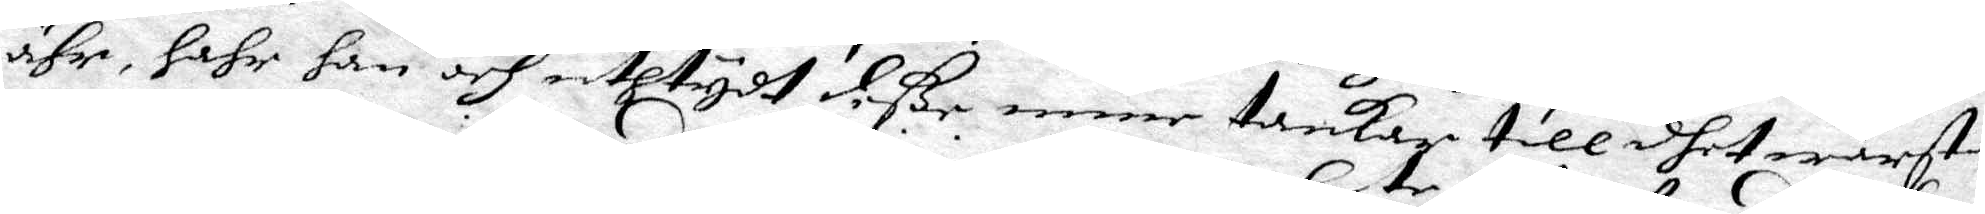ähr, hahr han och uthtydh deße, mine tankar till dhet wärsta, 
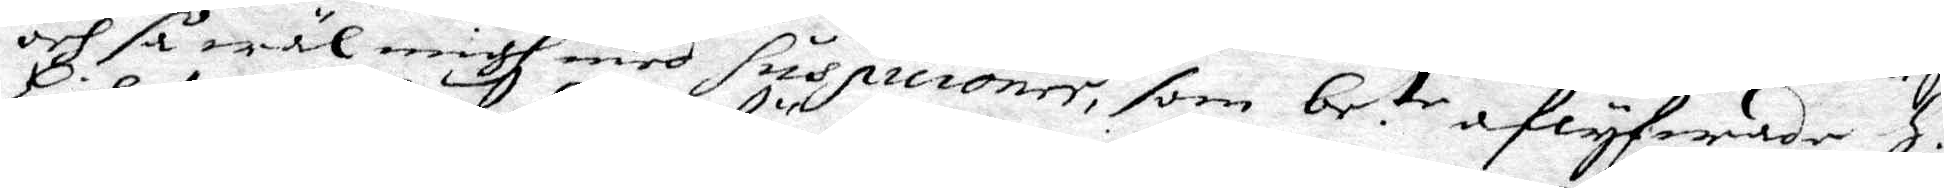och så wäl migh med suspicioner, som be:te aflyfwade H.
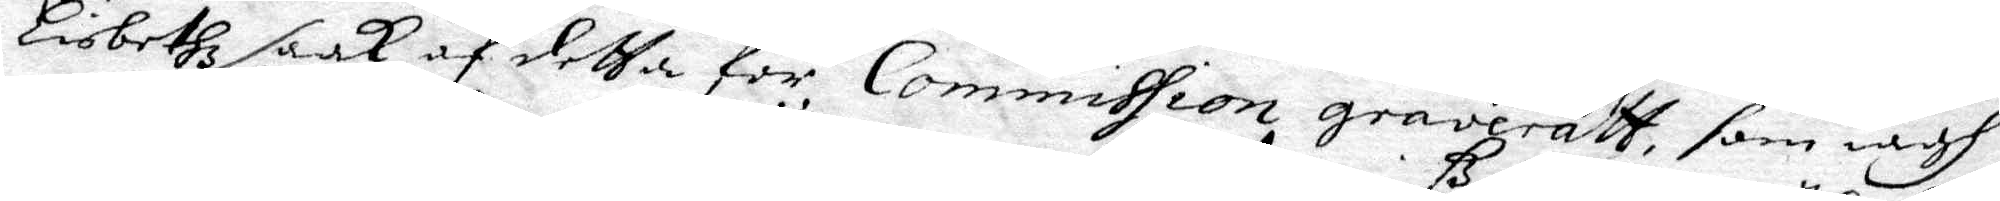Libethz saak af detta för Commission graveratt, som iagh
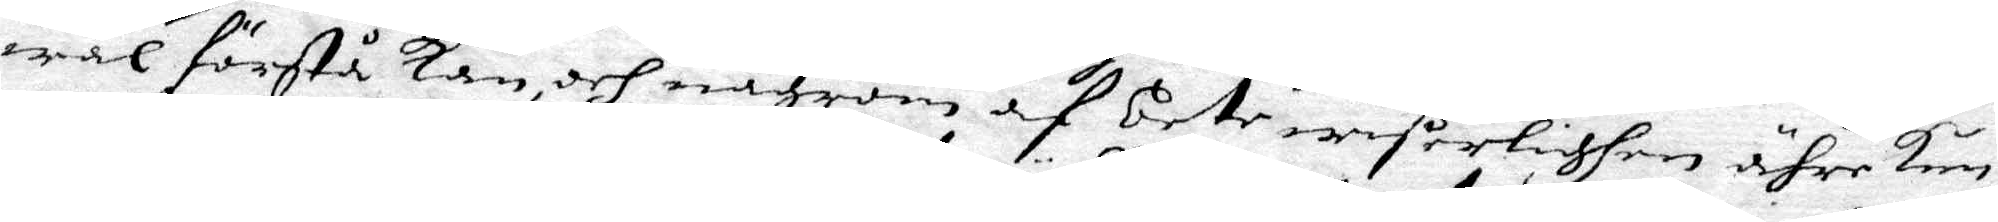wäl förstå kan och någrom af be.te wißerlighen ähre kun¬
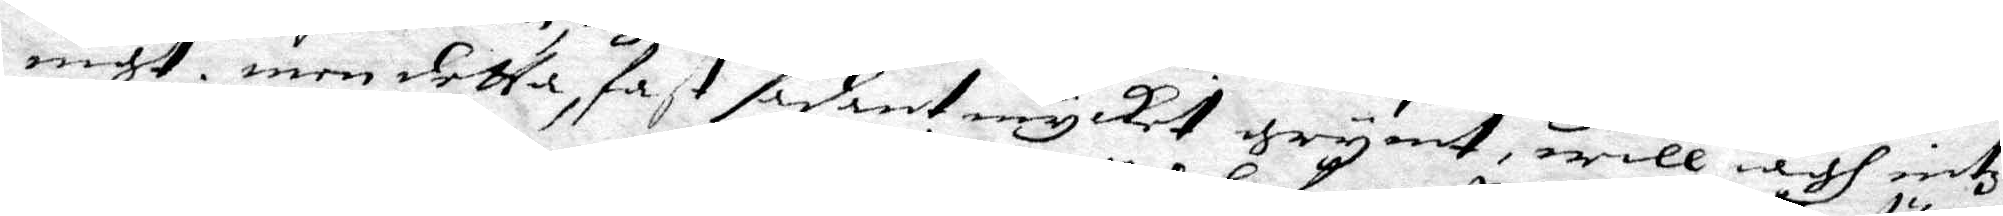nigt, men detta, fast sådant mycket grymt, will iagh intz
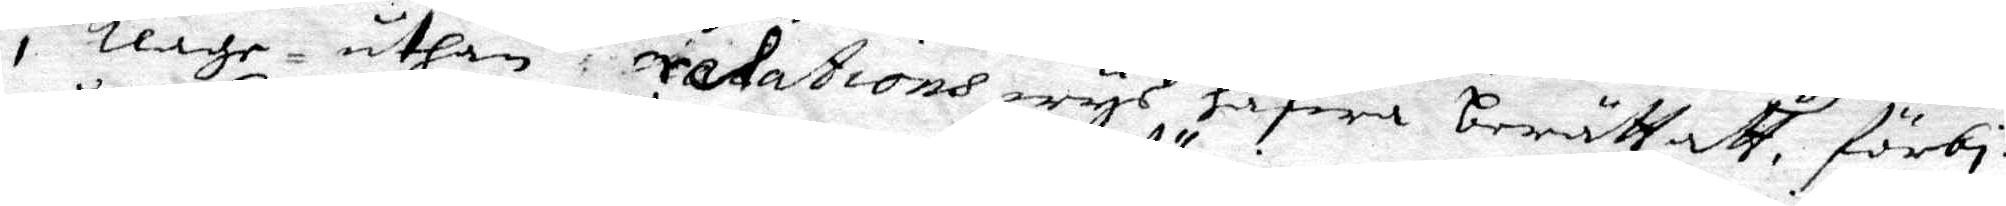i klage uthan  redations wys hafwa berättatt, förbi¬
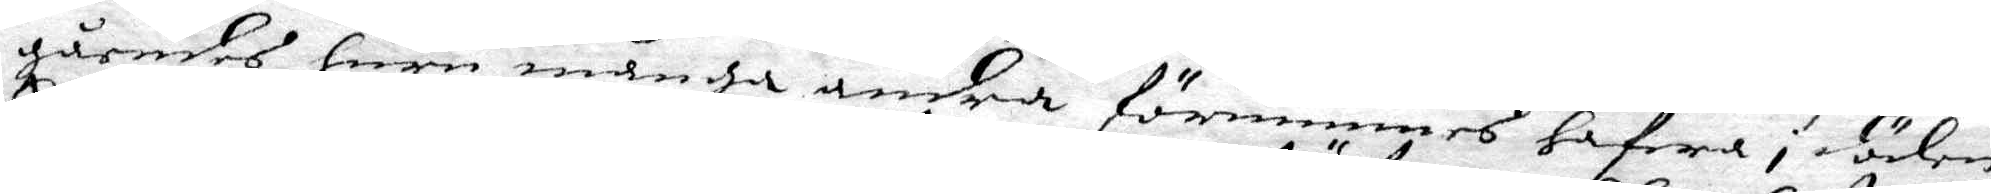gåendes huru många andra förnimmes hafwa i döden
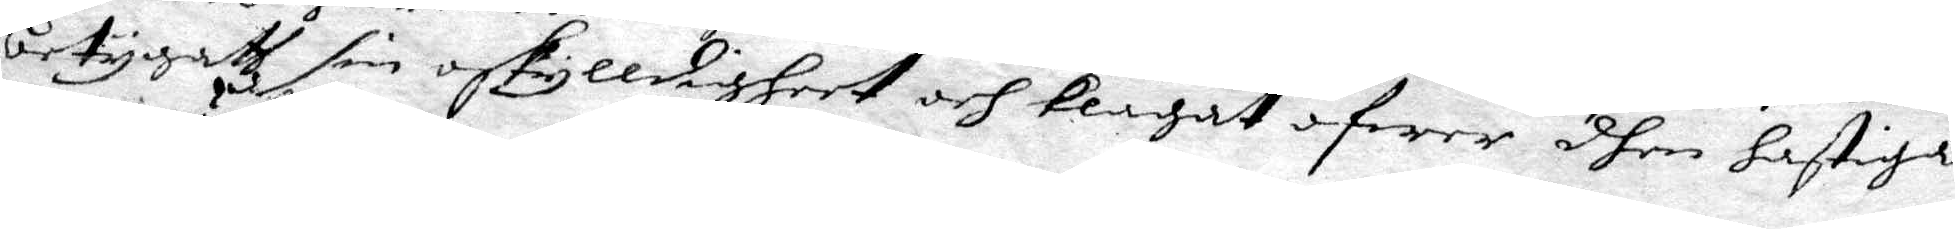betygath sin oskylldigheet och klagat öfwer dhen hastiga
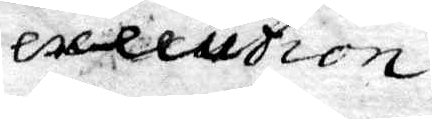execution.
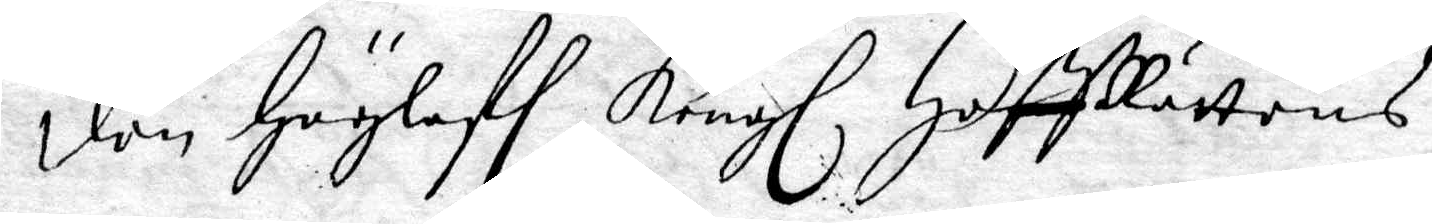Den Höglofl Kongl. HoffRättens
